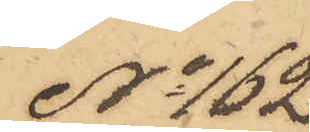No 162
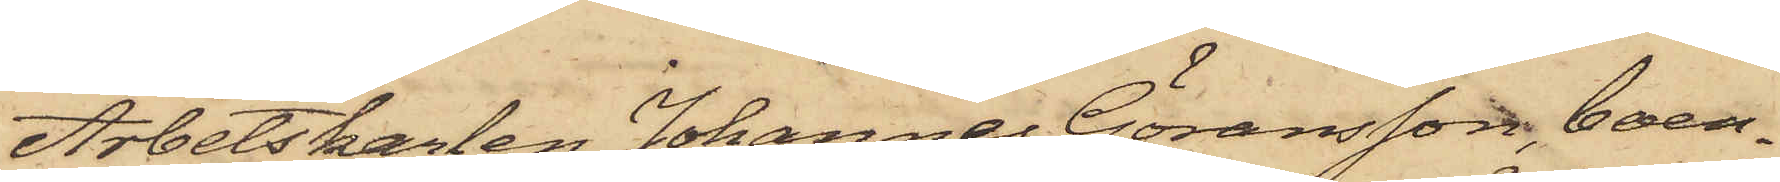Arbetskarlen Johannes Göransson, boen¬
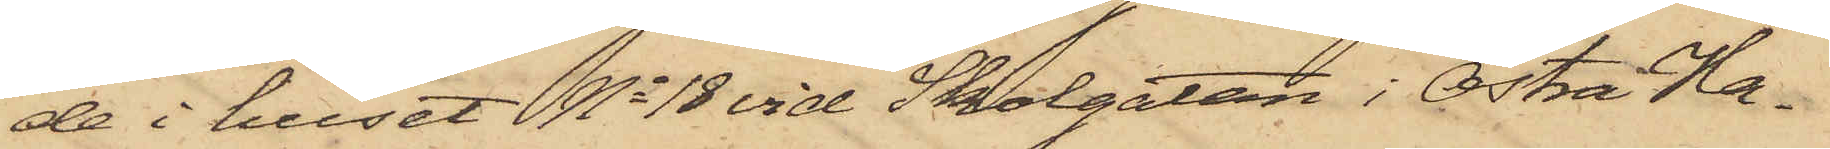de i huset No 18 vid Skolgatan i Östra Ha¬
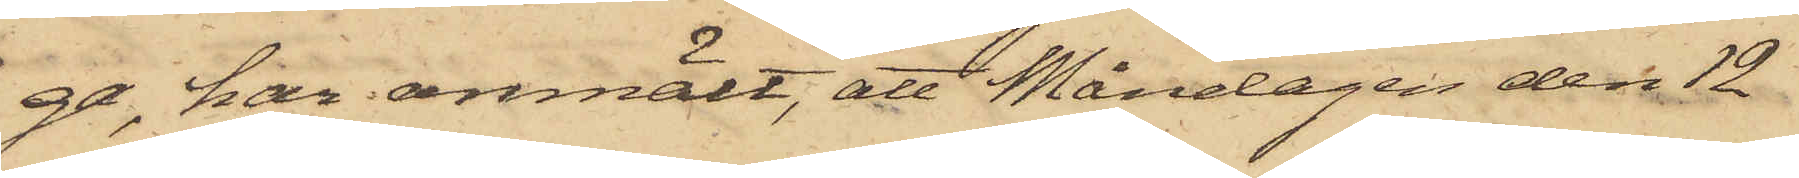ga, har anmält, att Måndagen den 12
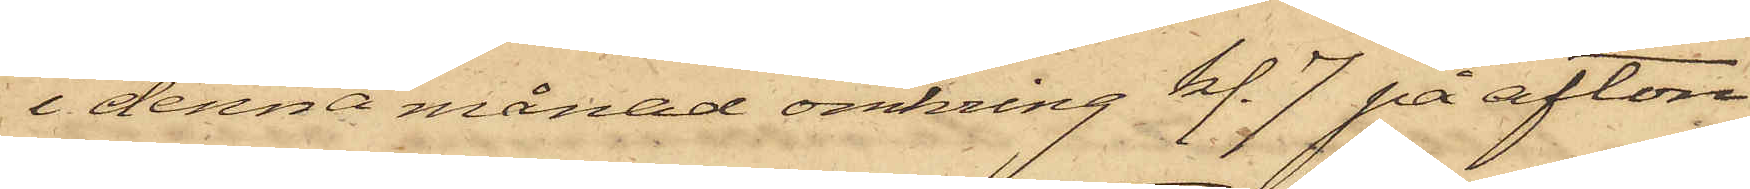i denna månad omkring kl. 7 på afton
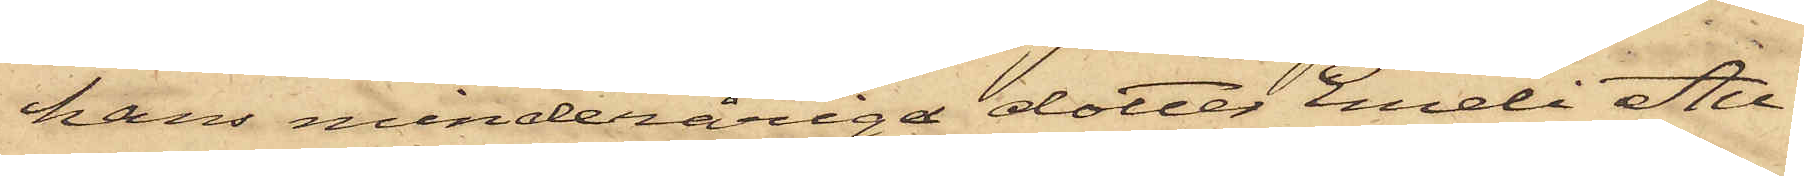hans minderåriga dotter Emeli Au¬
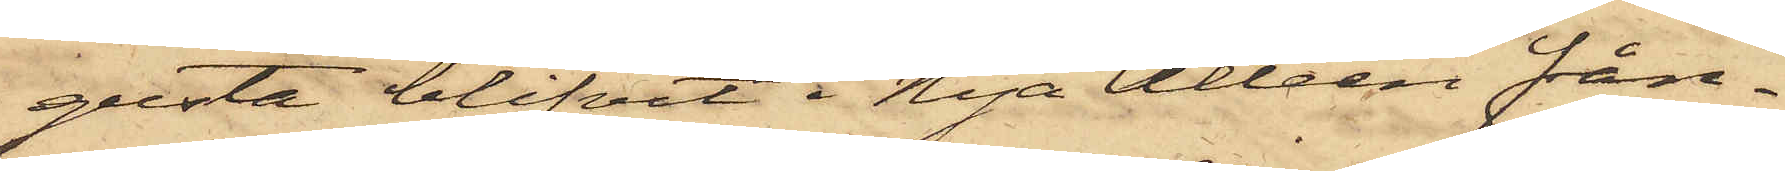gusta blifvit i Nya Alléen från¬
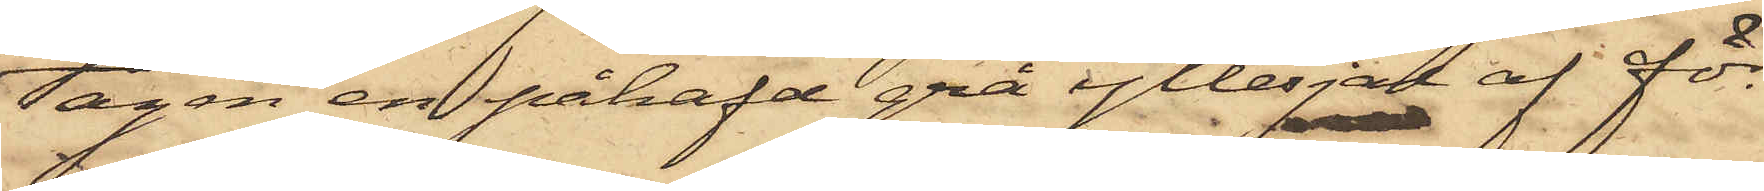tagen en påhafd grå yllesjal af för
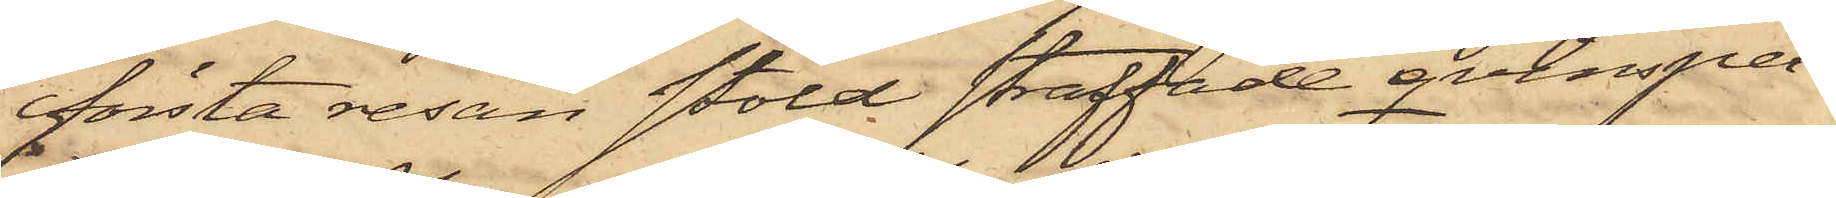första resan stöld straffade qvinsper¬
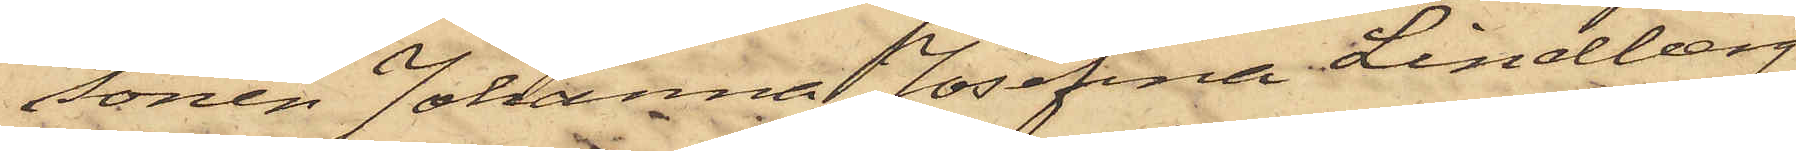sonen Johanna Josefina Lindberg,
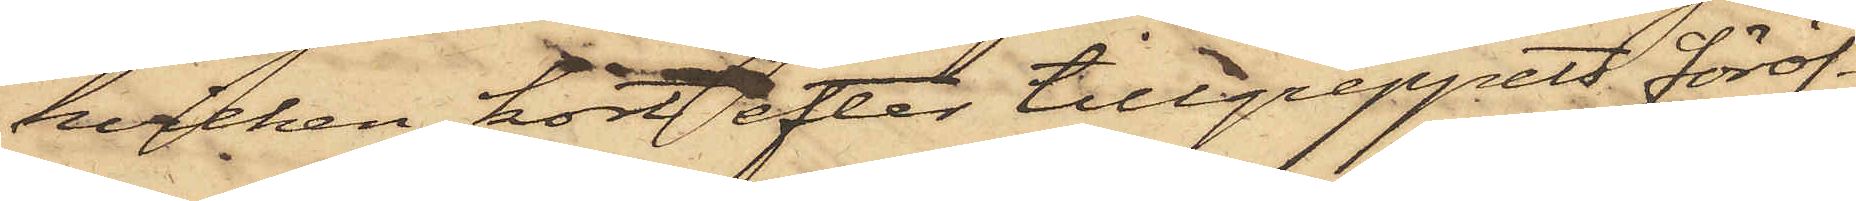hvilken kort efter tillgreppets föröf¬
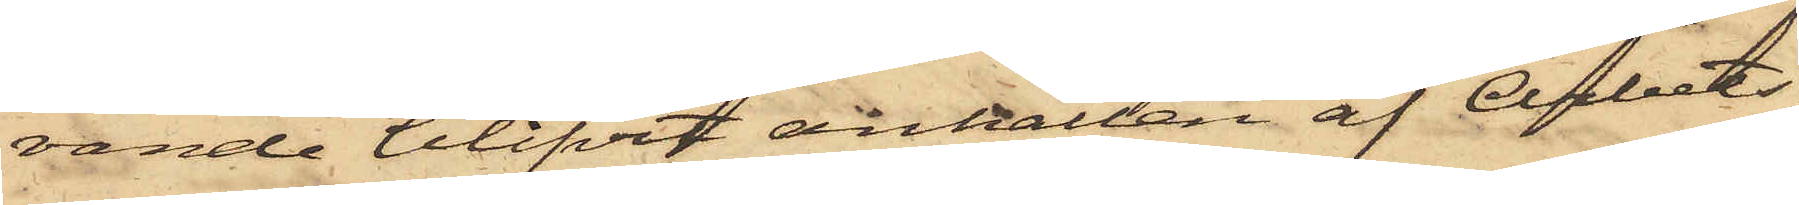vande blifvit anhållen af Arbets¬
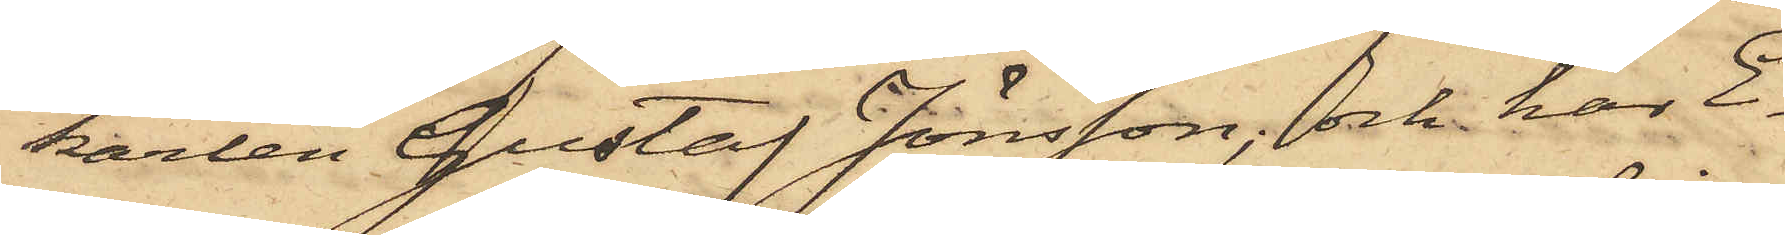karlen Gustaf Jönsson, och har E¬
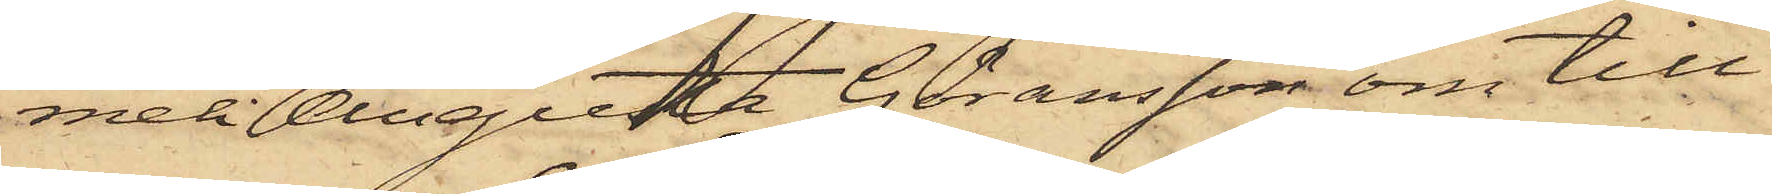meli Augusta Göransson om till¬
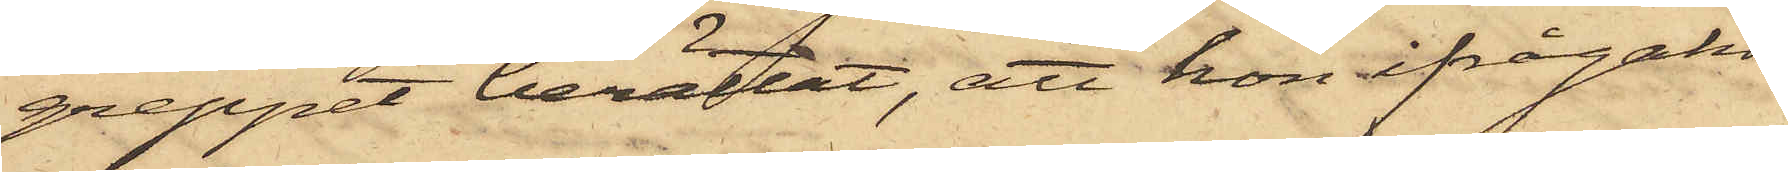greppet berättat, att hon ifrågakom¬
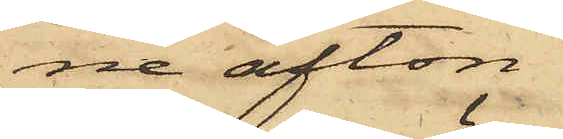ne afton
